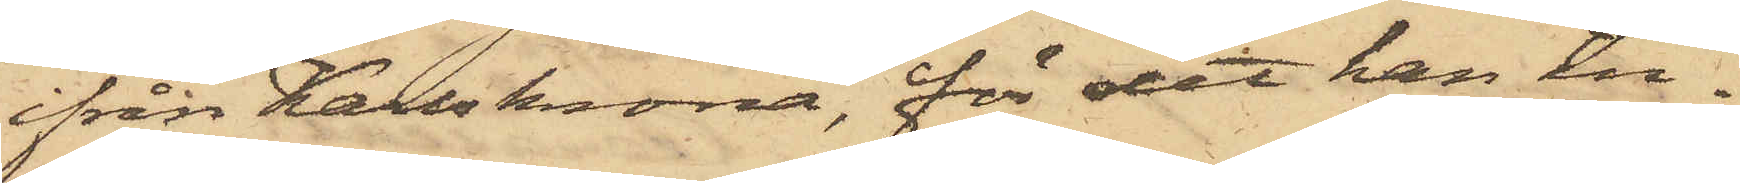ifrån Karlkrona, för det han in¬
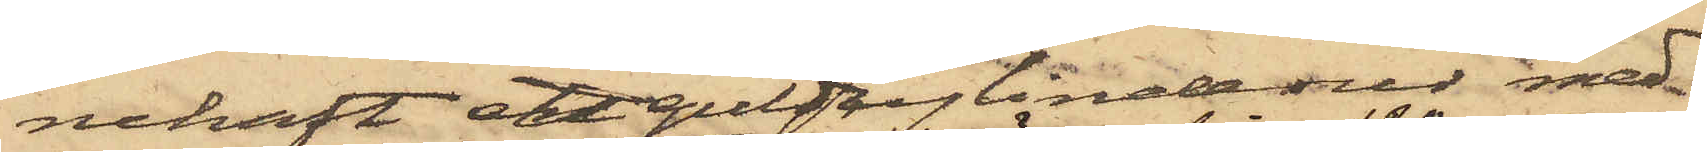nehaft ett guldcylinderur med
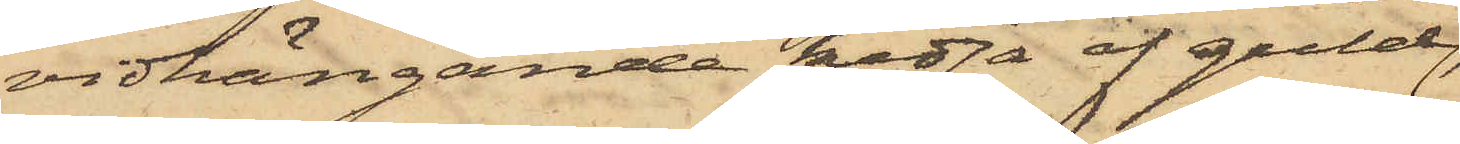vidhängande kedja af guld,
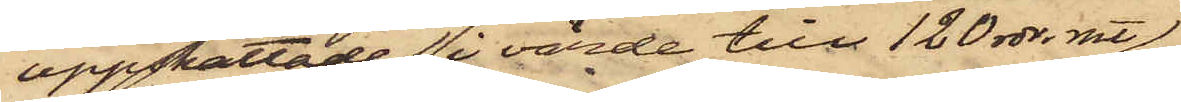uppskattade i värde till 120 rdr. rmt,
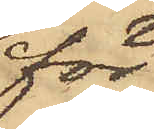för
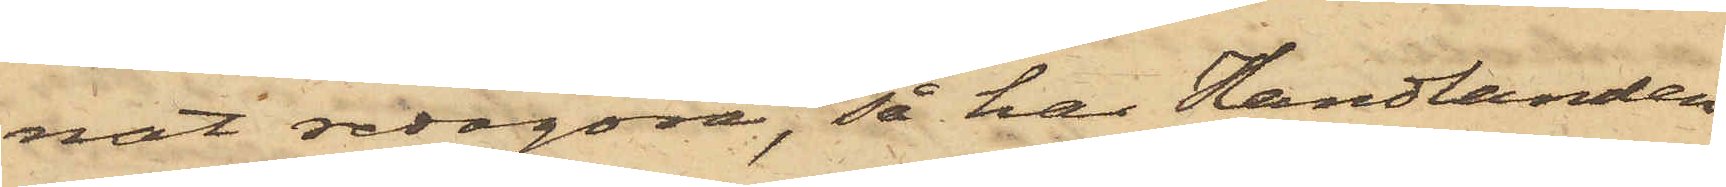nat redogöra, så har Handlanden
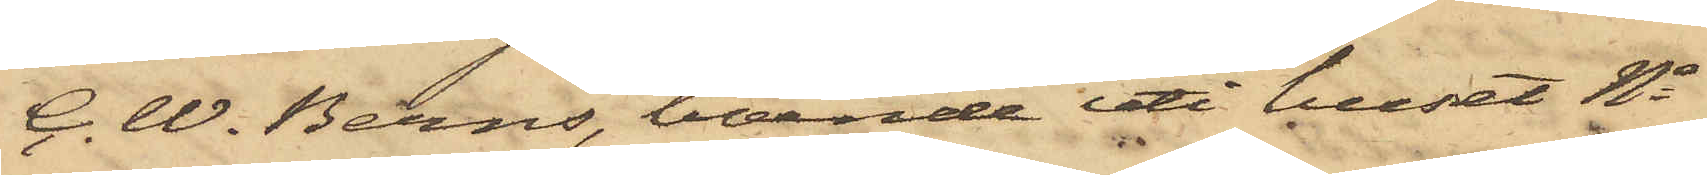C. W. Berns, boende uti huset No
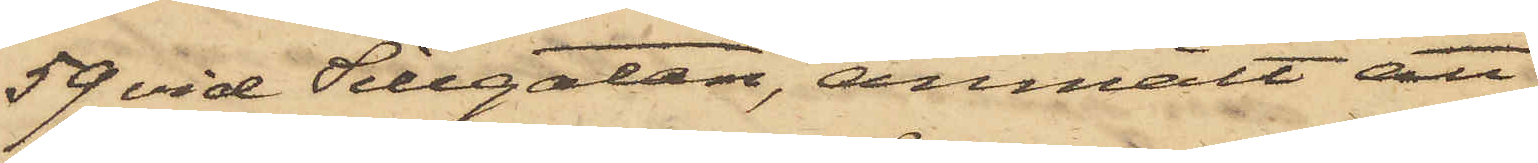59 vid Sillgatan, anmält att
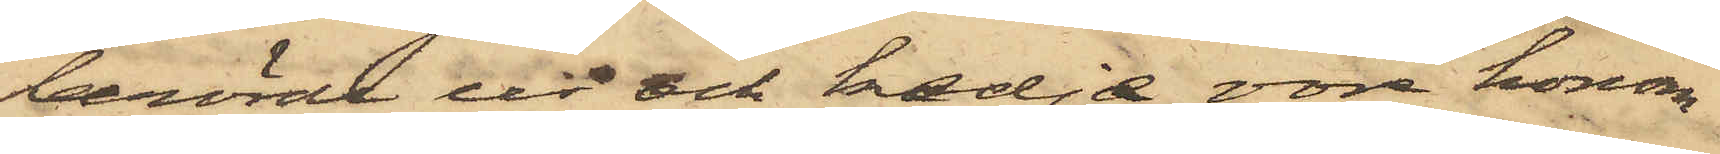berörde ur och kedja vore honom
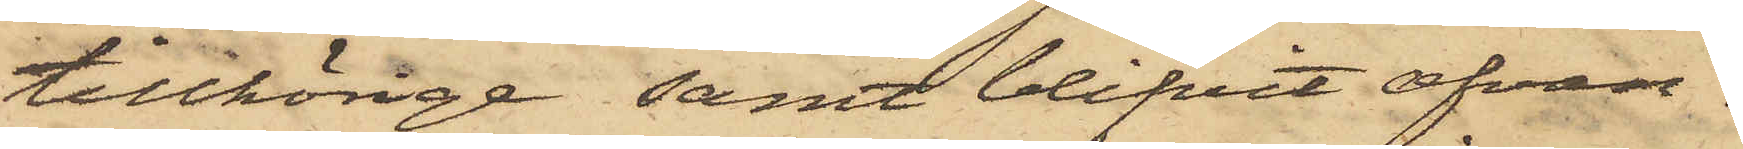tillhörige samt blifvit ofvan¬
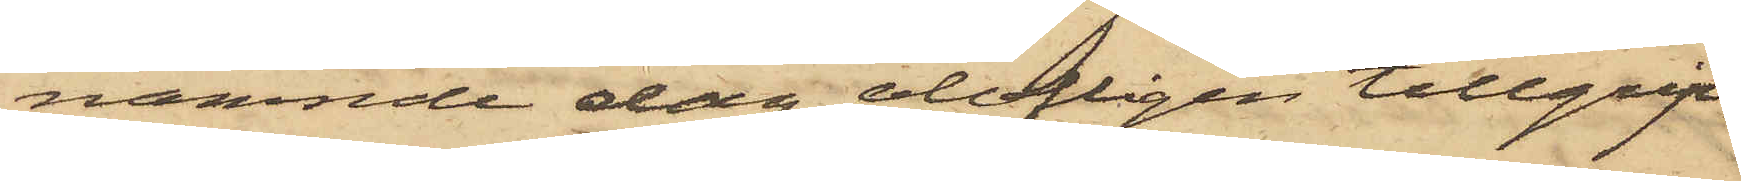nämnde dag olofligen tillgrip¬
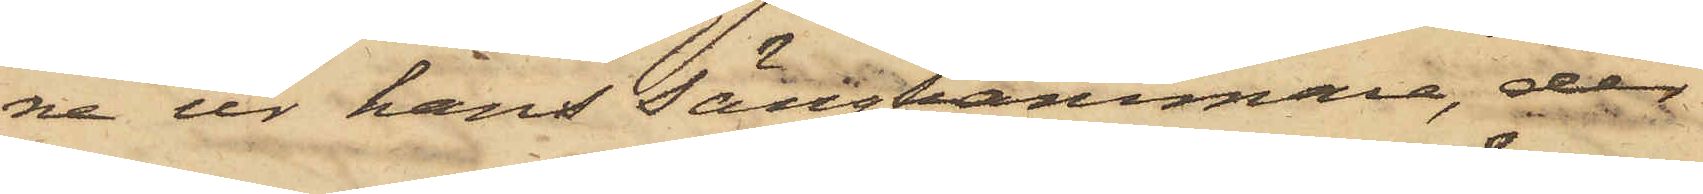ne ur hans Sängkammare, der
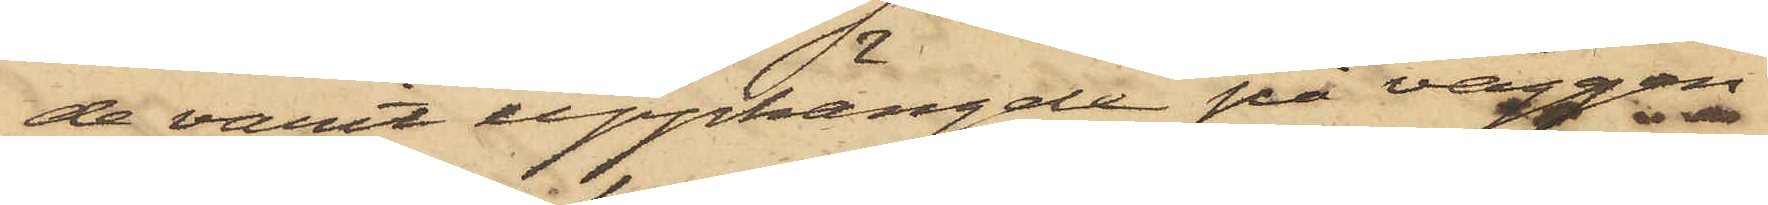de varit upphängde på väggen
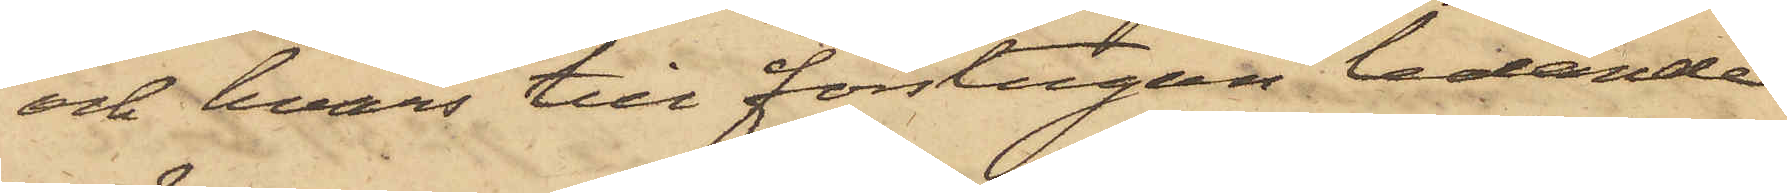och hvars till förstugan ledande
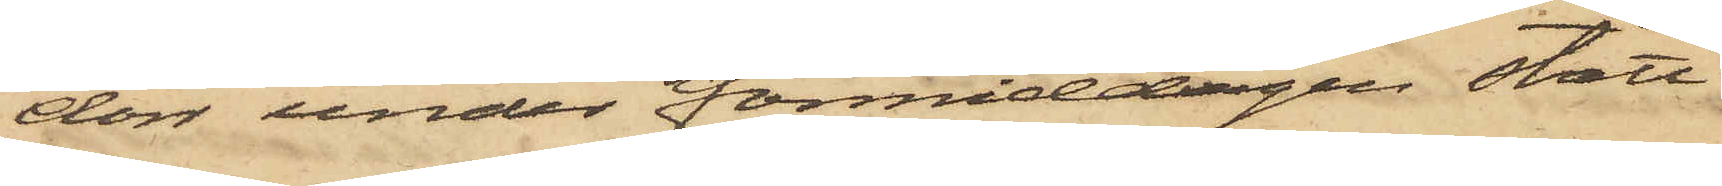dörr under förmiddagen stått
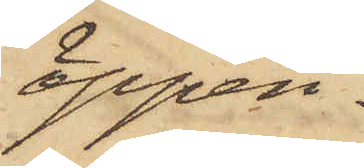öppen.
